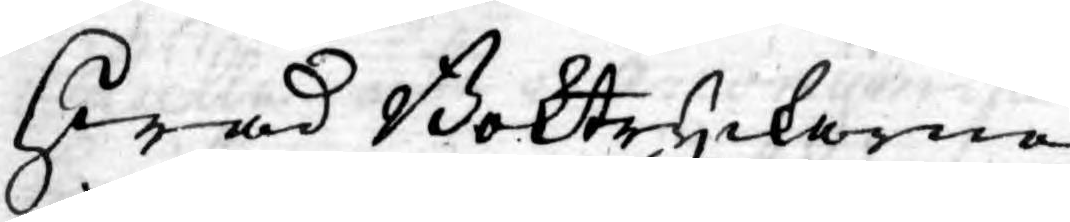Hwad Boktryckerne
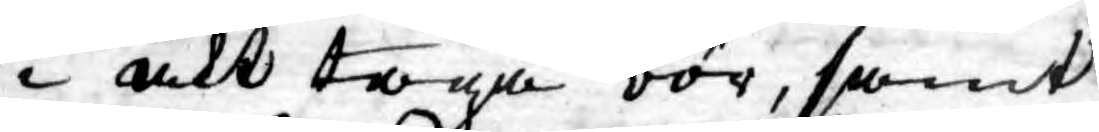i akt taga bör, samt
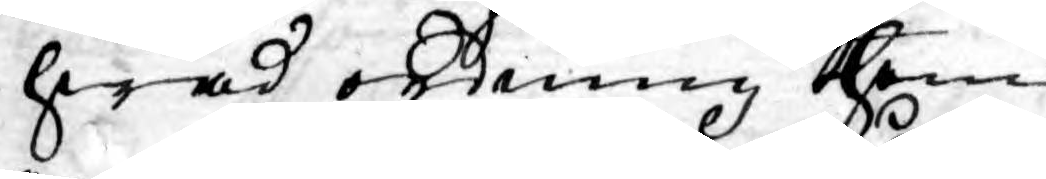hwad ordning them
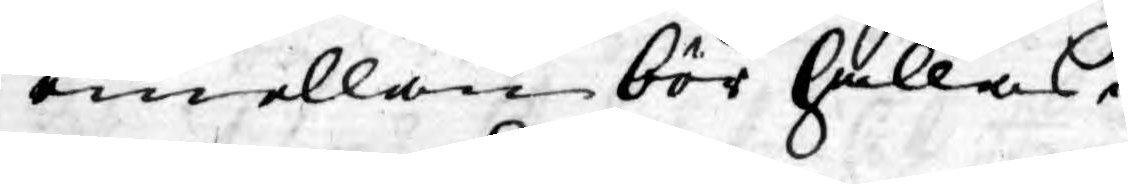emellan bör hållas.
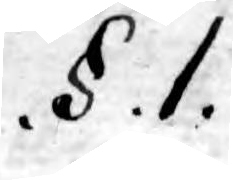.§. 1.
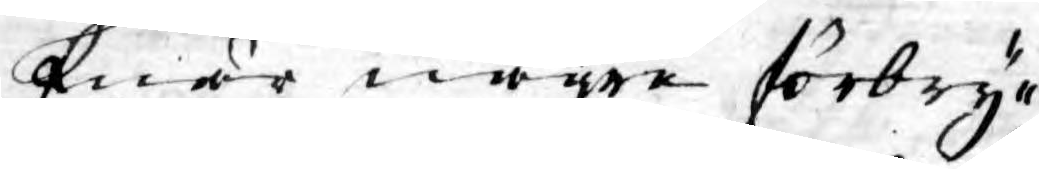Enär någre förbry¬
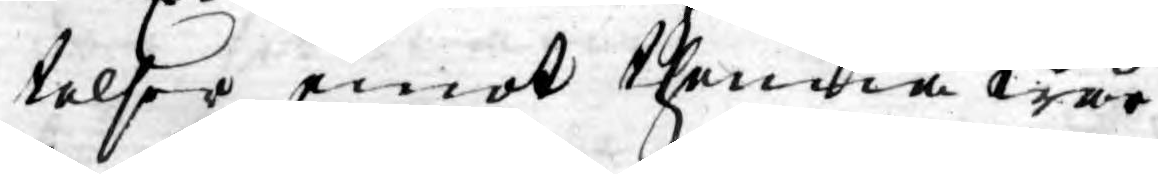telser emot thenna wår
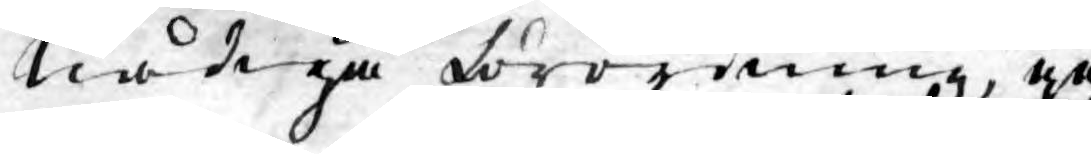nådiga förordning, ge¬
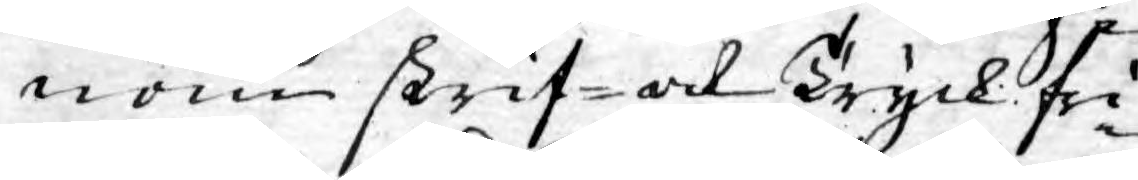nom skrif- och Tryck fri¬
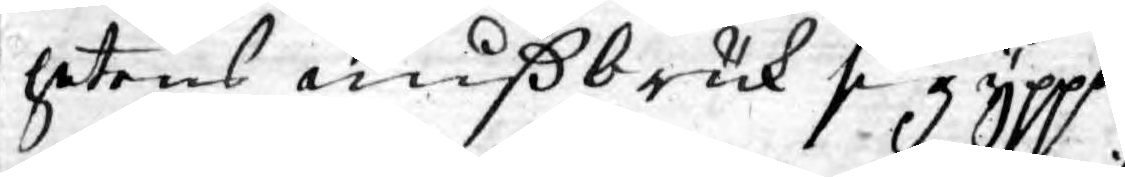hetens mißbruk sig yppa,
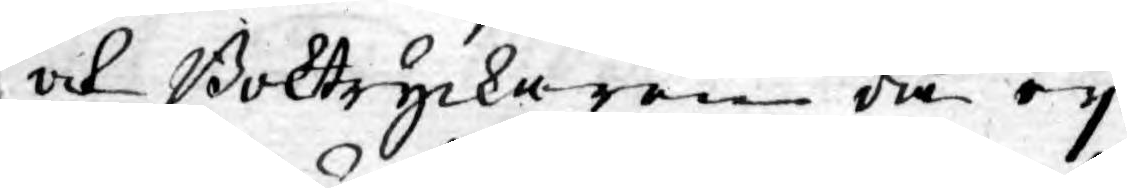och Boktryckaren då ey
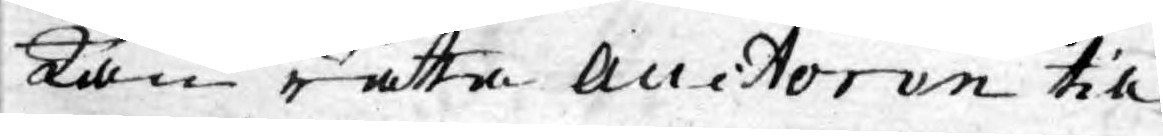kan rätta Auctoren till
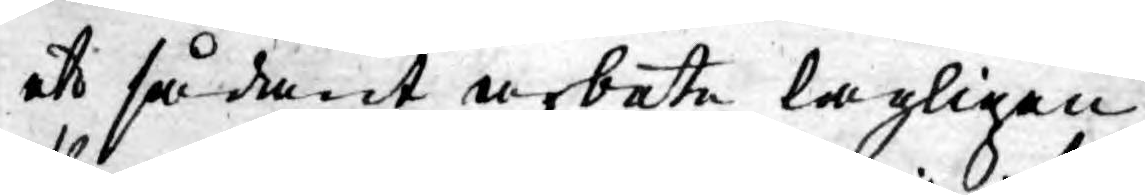ett sådant arbete lagligen
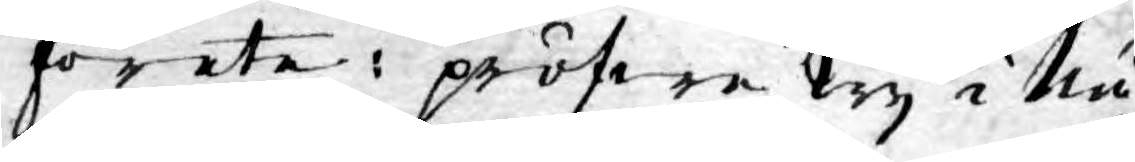förete: pröfwe Wy i Nå¬
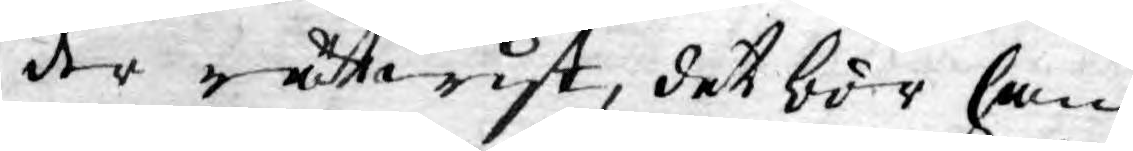der rättwist, det bör han
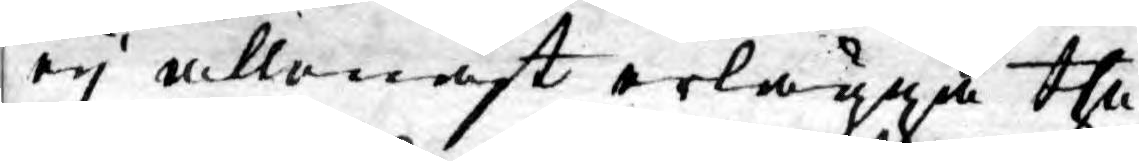ey allenast erlägga the
